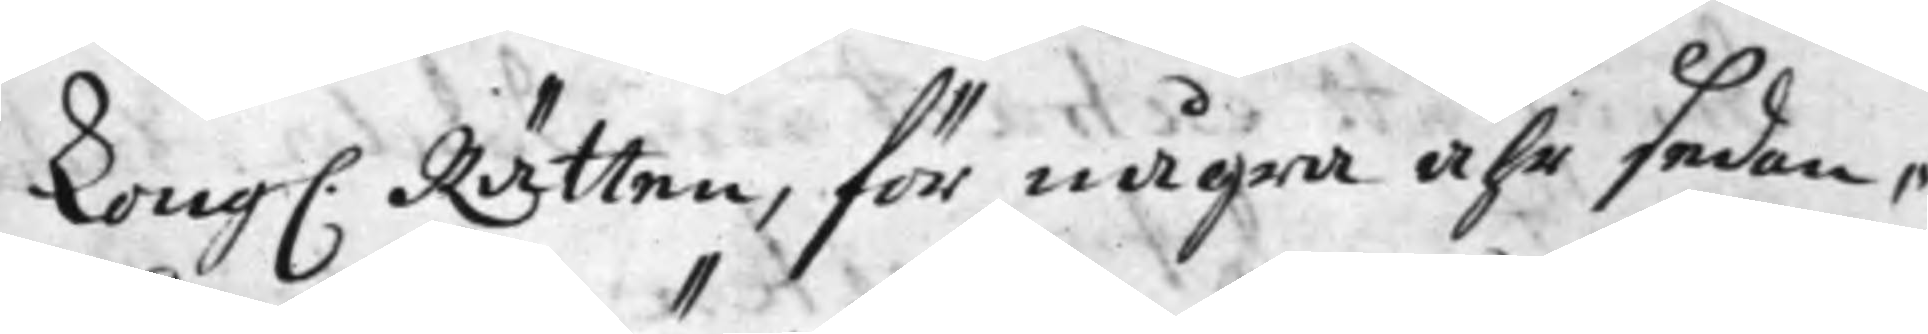Kong. Rätten, för några åhr sedan,
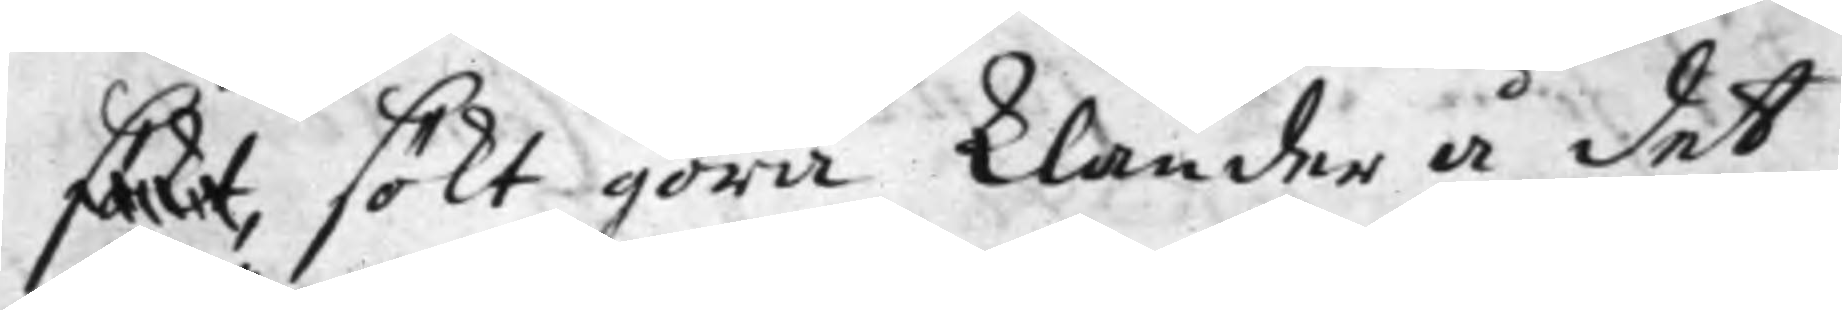sökt, sökt göra klander å det
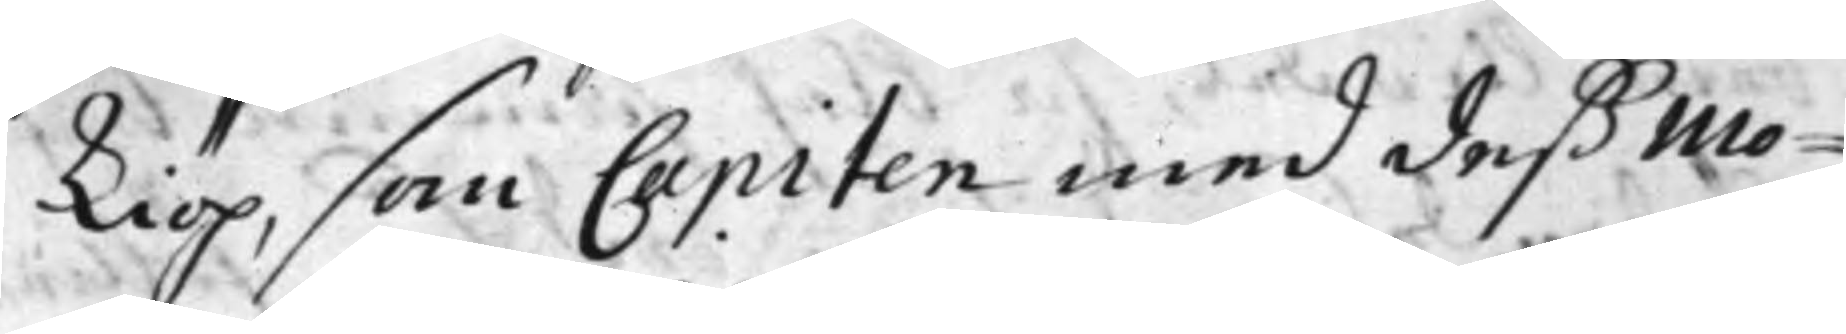Kiöp, som Capiten med deß Mo¬
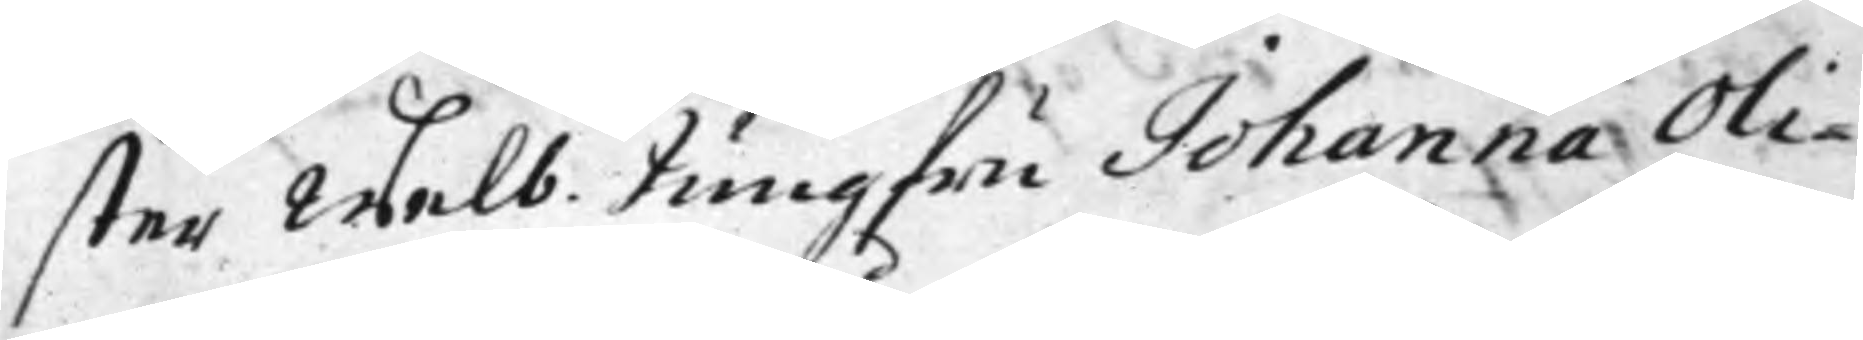ster Welb. Jungfru Johanna Oli¬
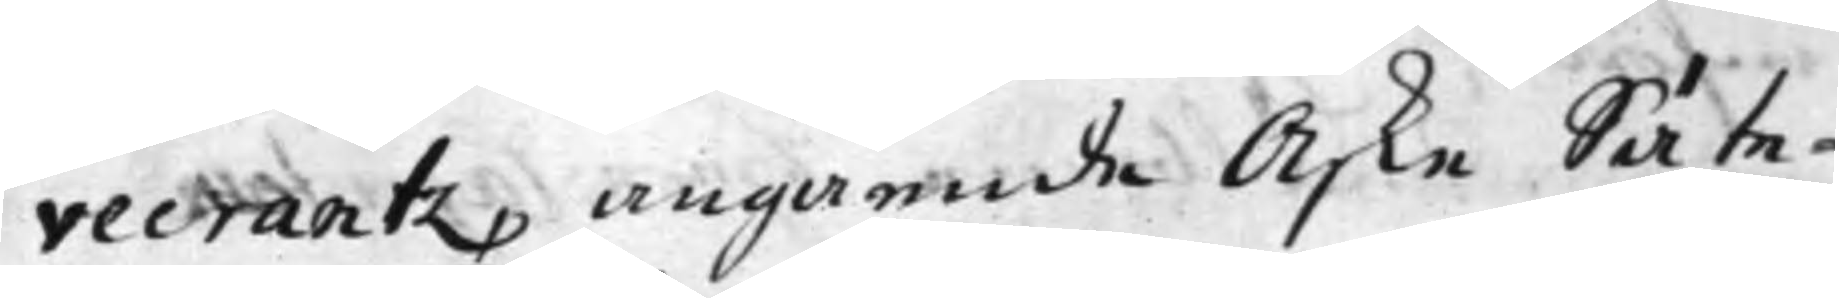vecrantz, angående Aske Säte¬
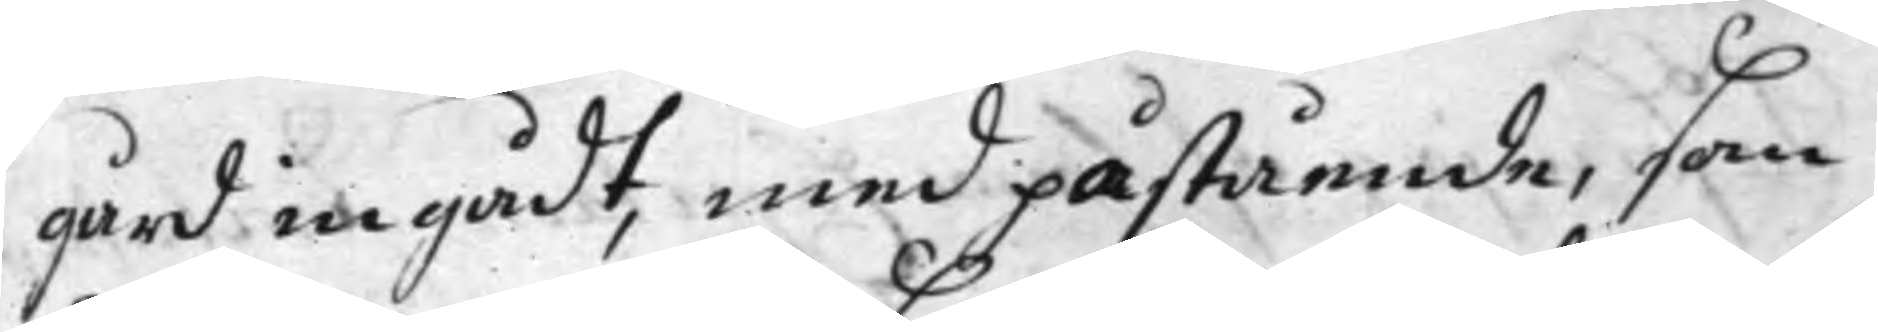gård ingådt, med påstående, som
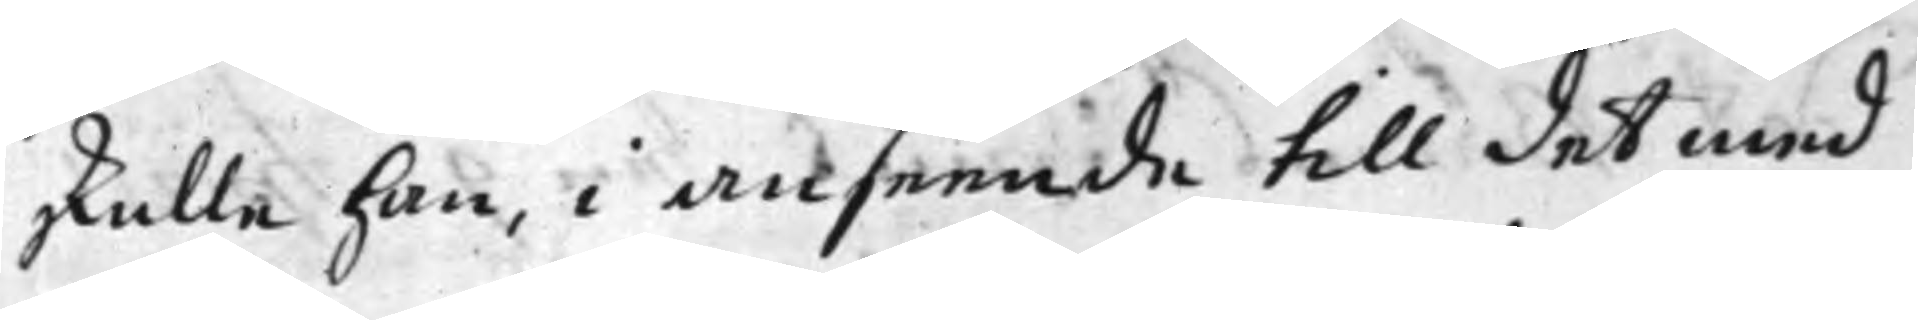skulle han, i anseende till det med
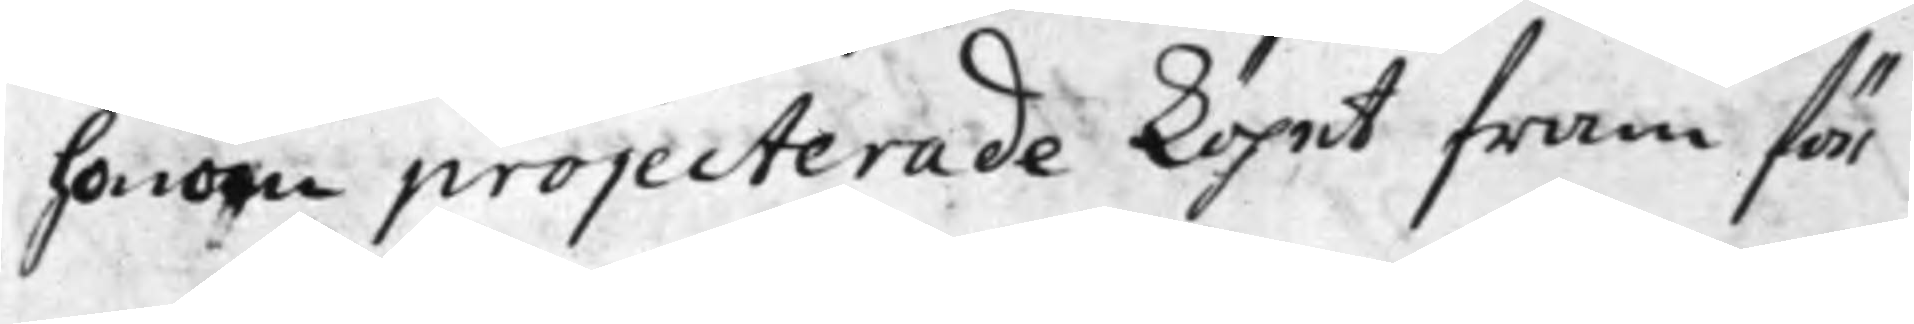honom projecterade köpet fram för
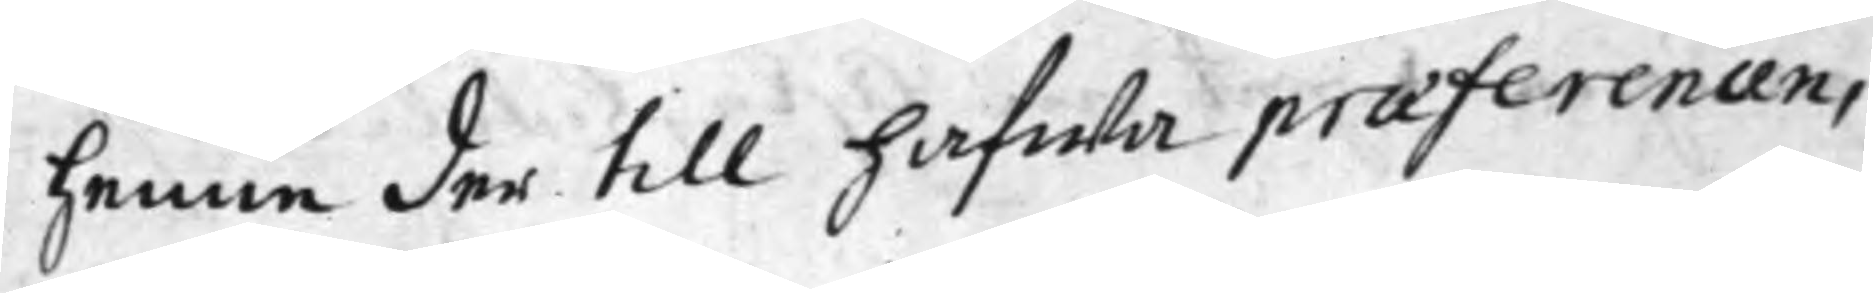henne der till hafwa praeferenans
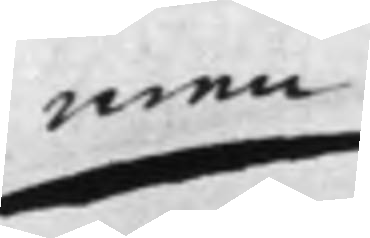men
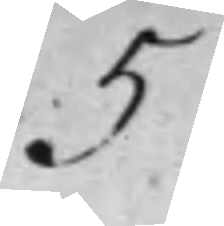5
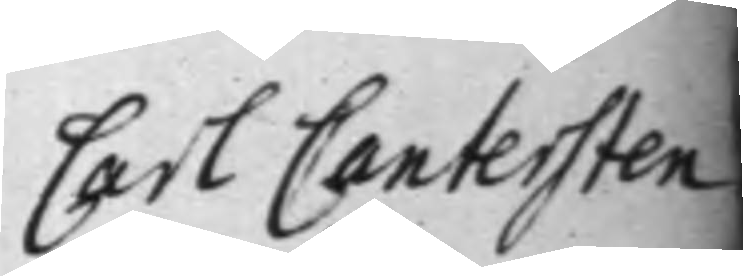Carl Cantersten
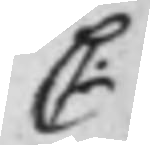C:
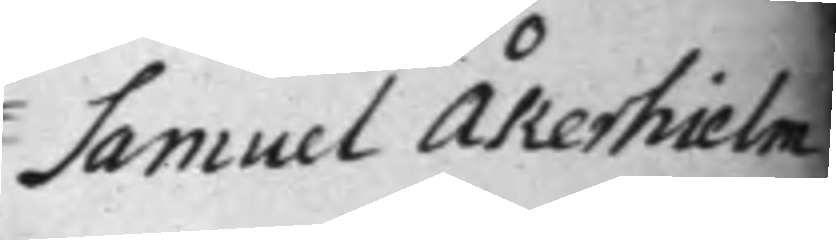Samuel Åkerhielm
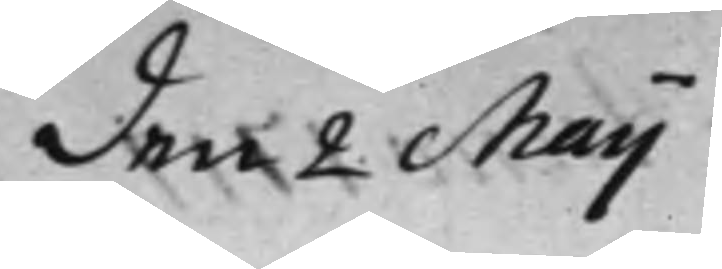den 2 Maij
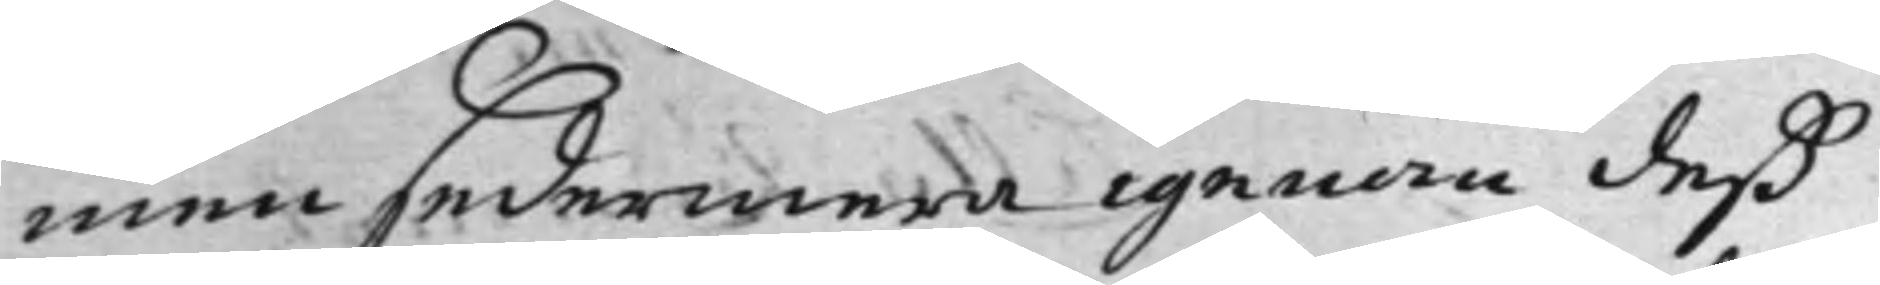men sedemera igenom deß
